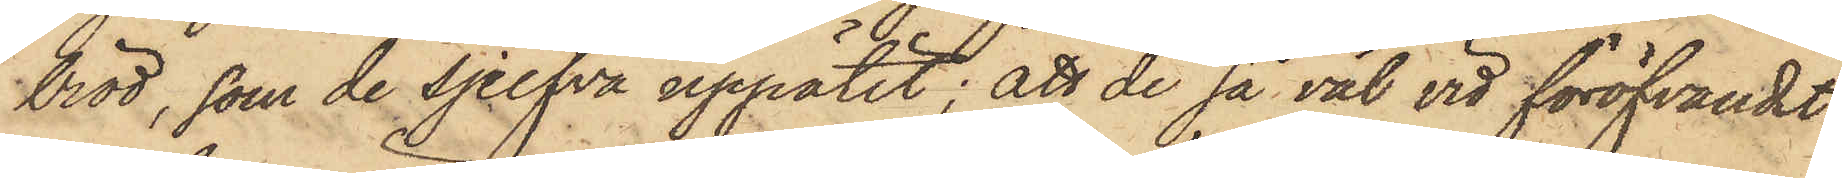bröd, som de sjelfva uppätit; att de så väl vid föröfvandet
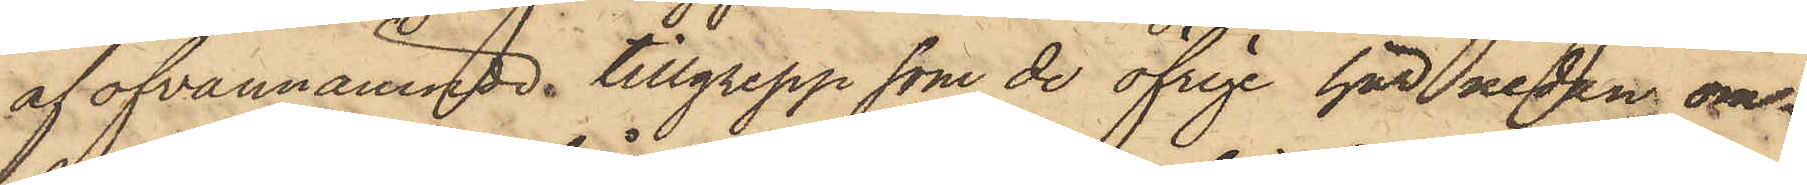af ofvannämnde tillgrepp som de öfrige här redan om¬
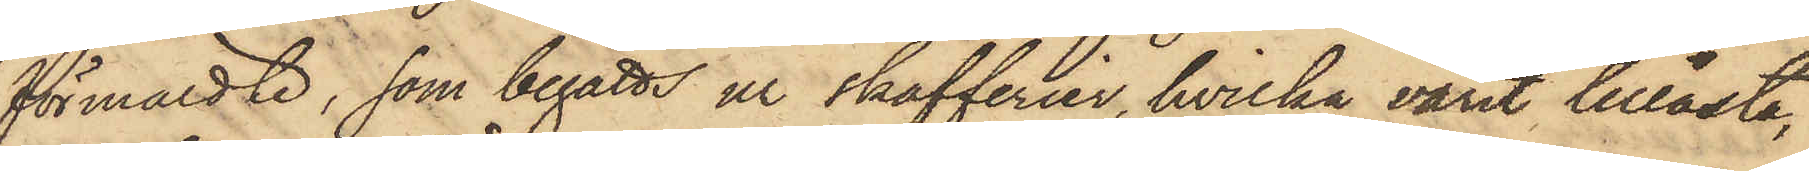förmäldte, som begåtts ur skafferier, hvilka varit tillåsta,
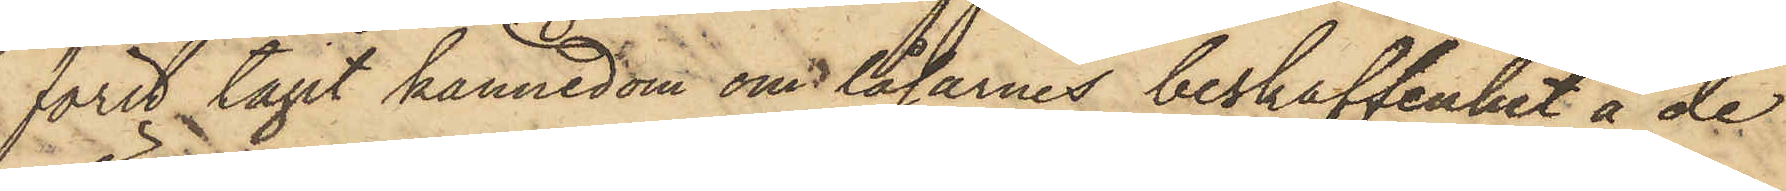först tagit kännedom om låsarnes beskaffenhet å de
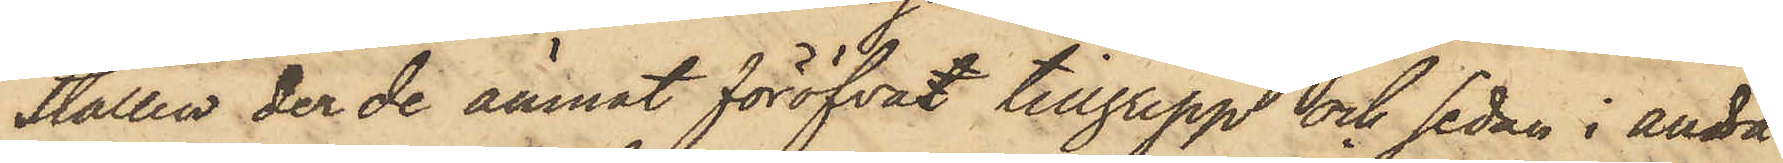ställen der de ämnat föröfvat tillgrepp och sedan i andra
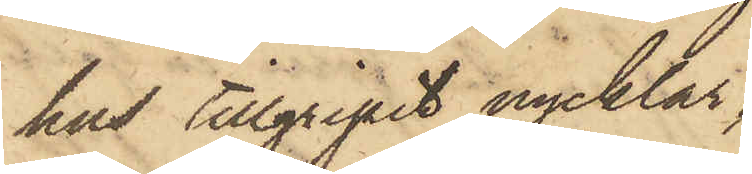hus tillgripit nycklar,
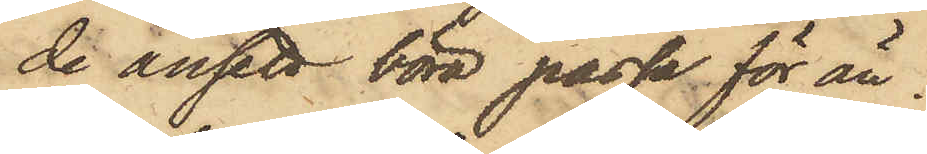de ansett böra passa för än¬
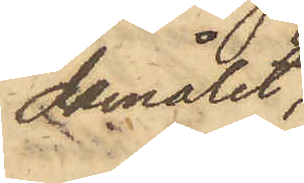damålet,
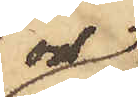och
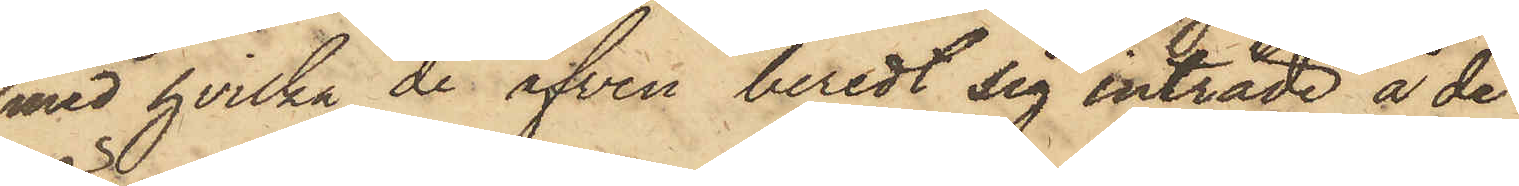med hvilka de äfven beredt sig inträde å de
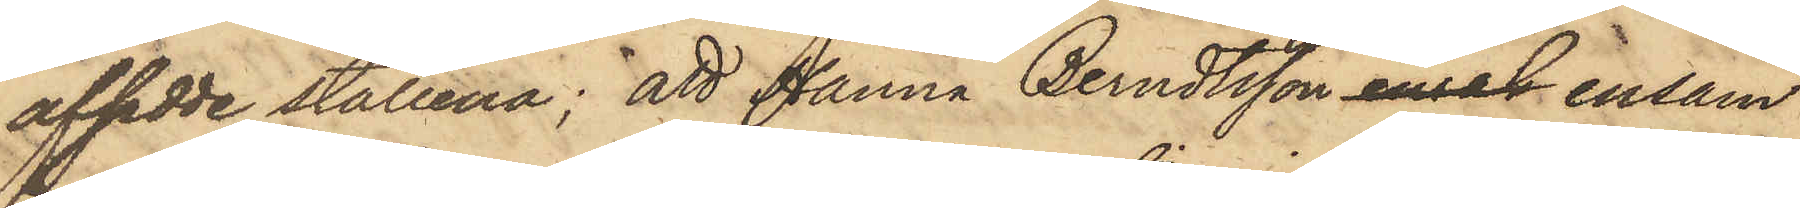afsedde ställena; att Hanna Berndtsson ensak ensam
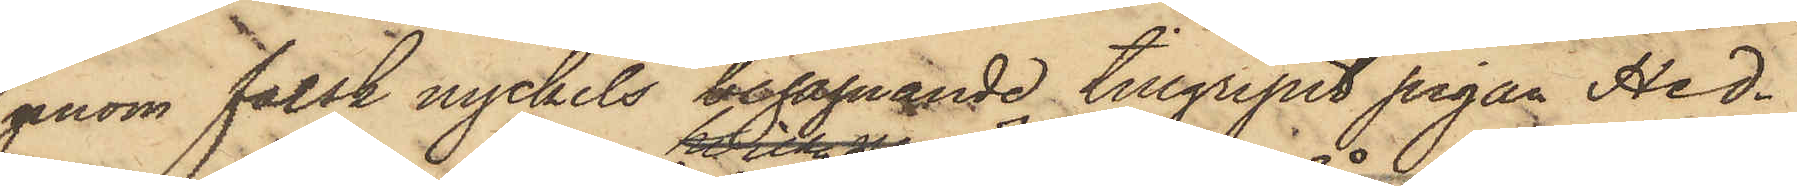genom falsk nyckels begagnande tillgripit pigan Hed¬
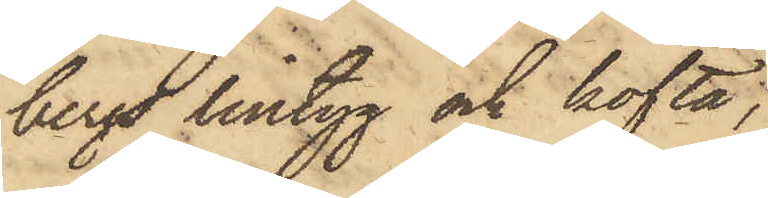bergs lintyg och kofta;
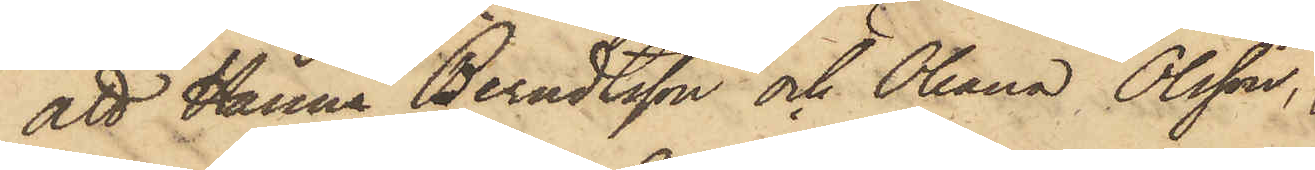att Hanna Berndtsson och Oleana Olsson,
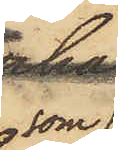som
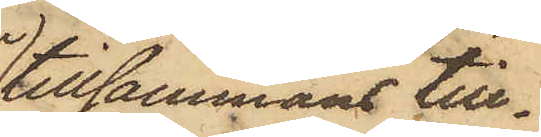tillsammans till¬
